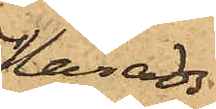Härads¬
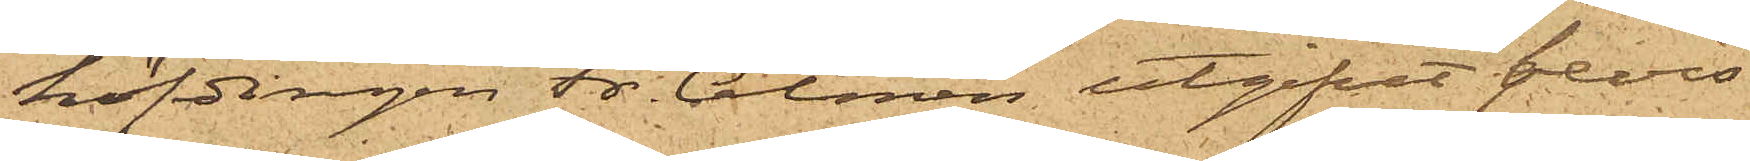höfdingen Fr. Almén utgifvet bevis
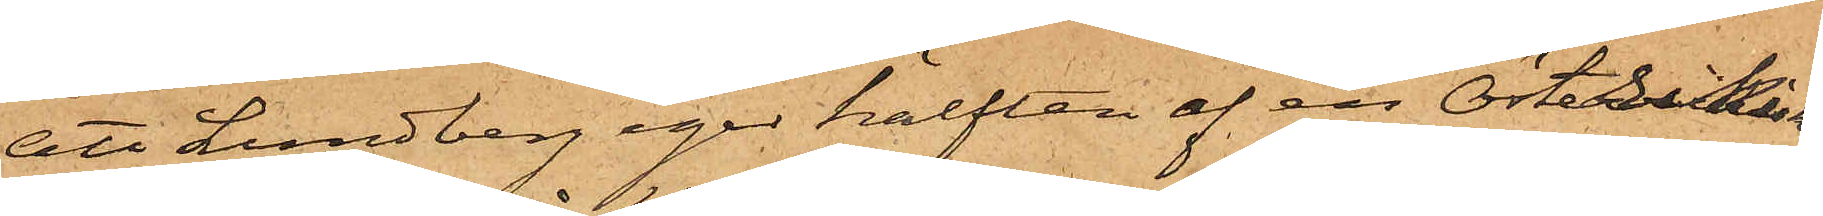att Lundberg eger hälften af en Österrikisk
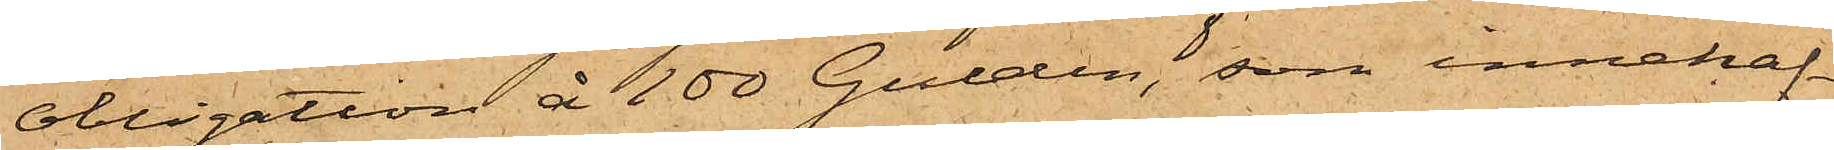obligation å 100 Gulden, som innehaf¬
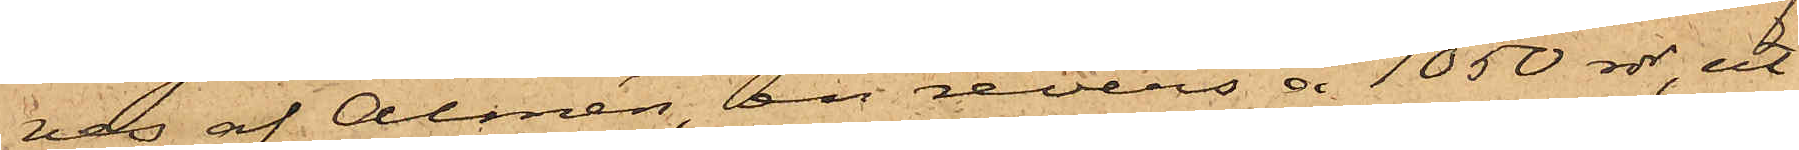ves af Almén, en revers å 1050 rdr, ut¬
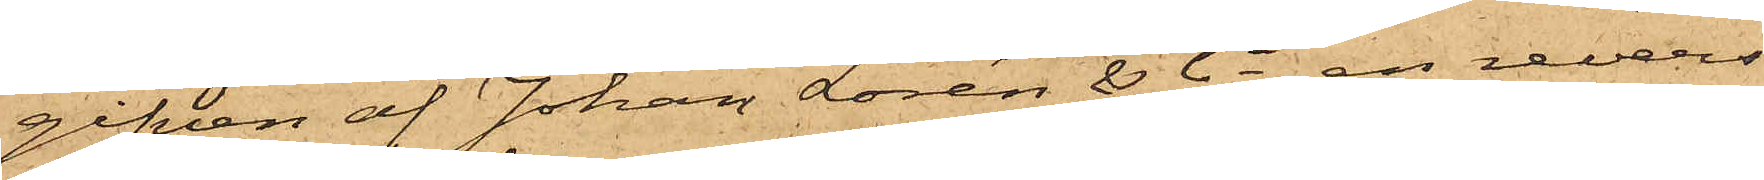gifven af Johan Lorén & Ci, en revers
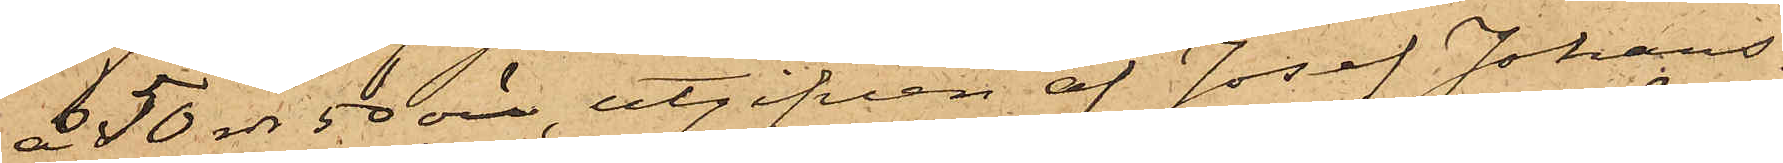250 rdr 50 öre, utgifven af Josef Johans¬
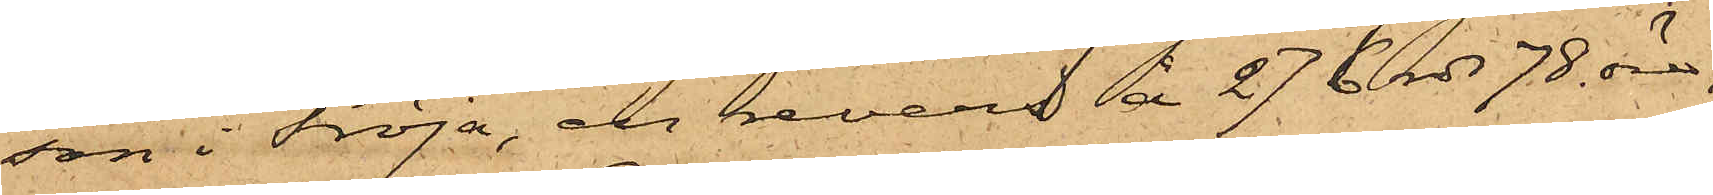son i Fröja, en revers å 276 rdr 78 öre,
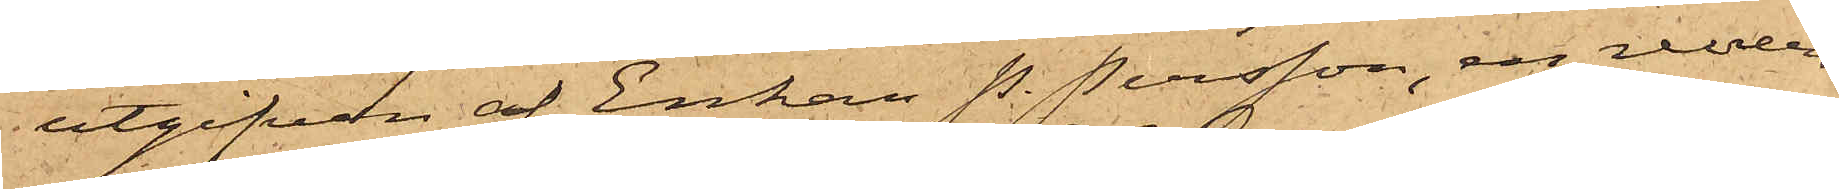utgifven af Enkan P. Persson, en revers
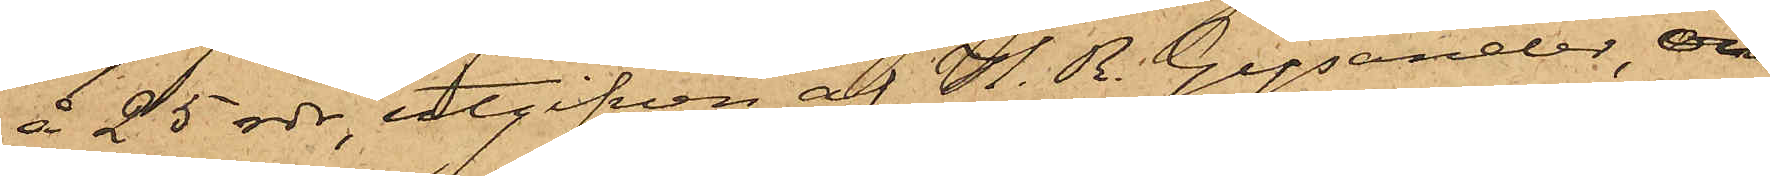å 25 rdr, utgifven af H. R. Gysander, och
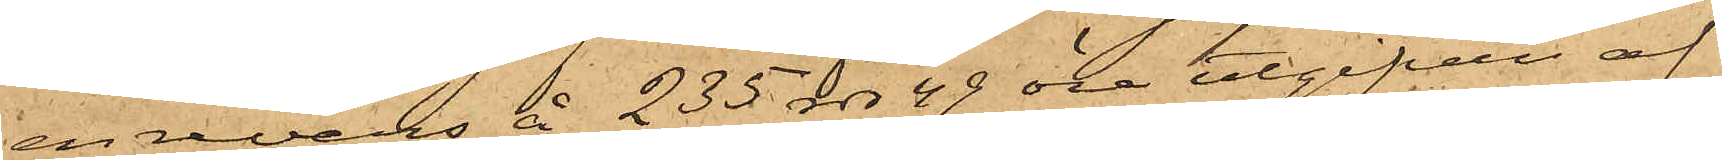en revers å 235 rdr 49 öre utgifven af
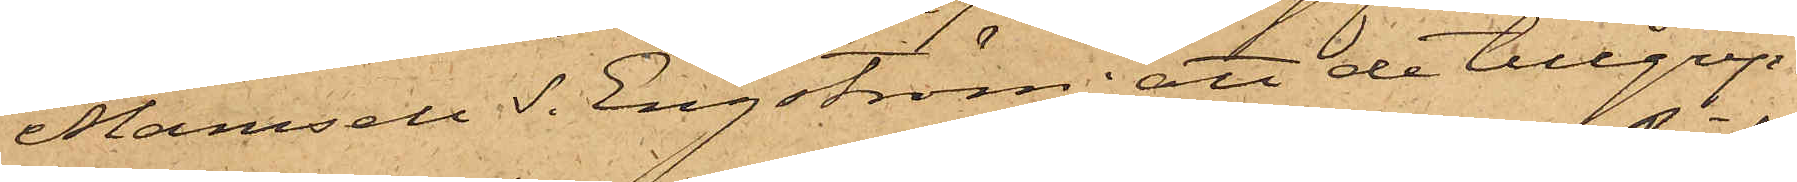Mamsell S. Engström; att de tillgrep¬
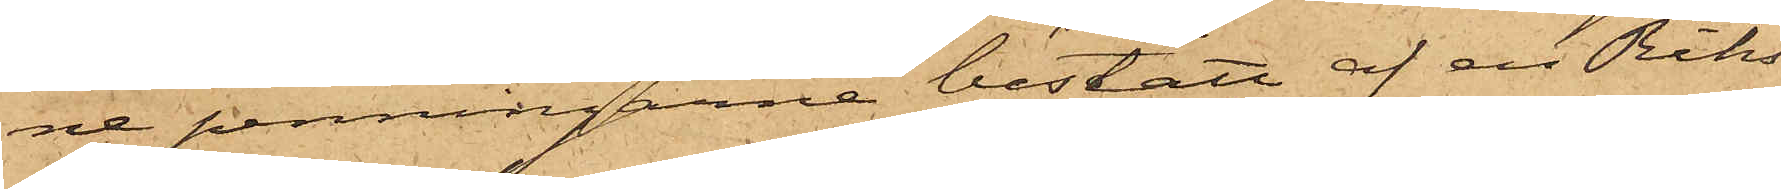ne penningarne bestått af en Riks¬
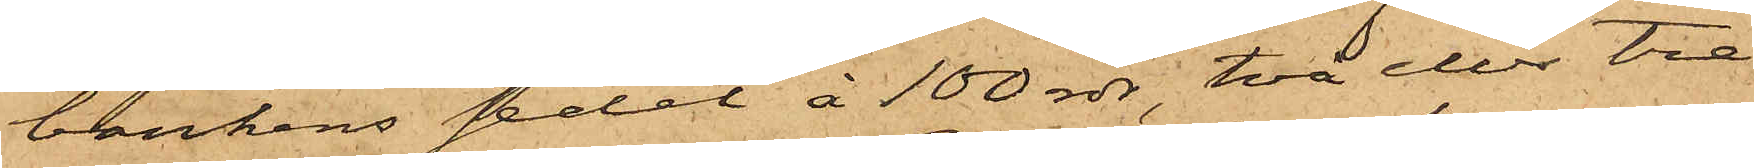bankens sedel à 100 rdr, två eller tre
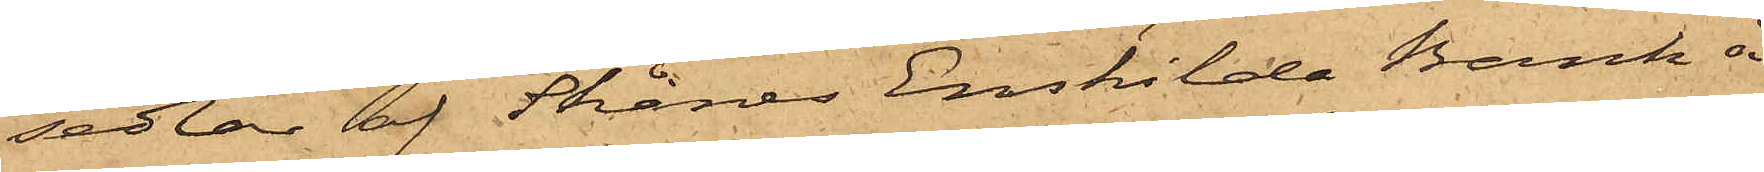sedlar af Skånes Enskilda Bank å
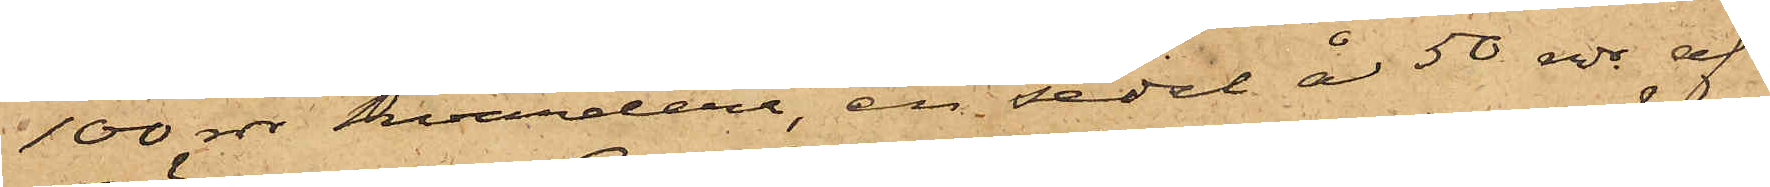100 rdr hvardera, en sedel å 50 rdr af
